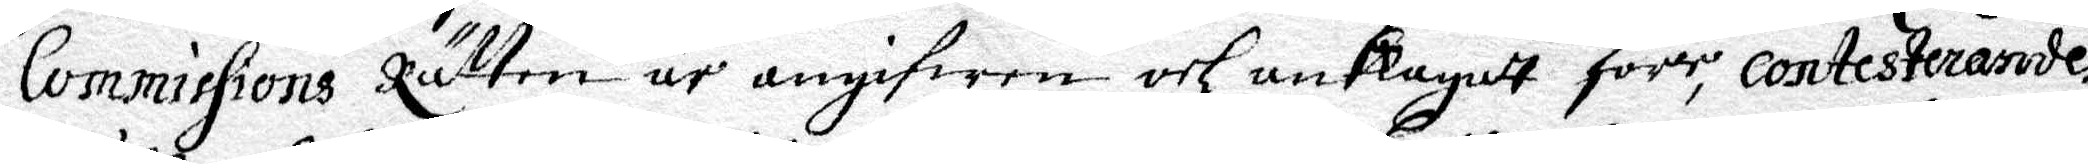Commissions Rätten är angifwen och anklagadt förr, contesterarodes
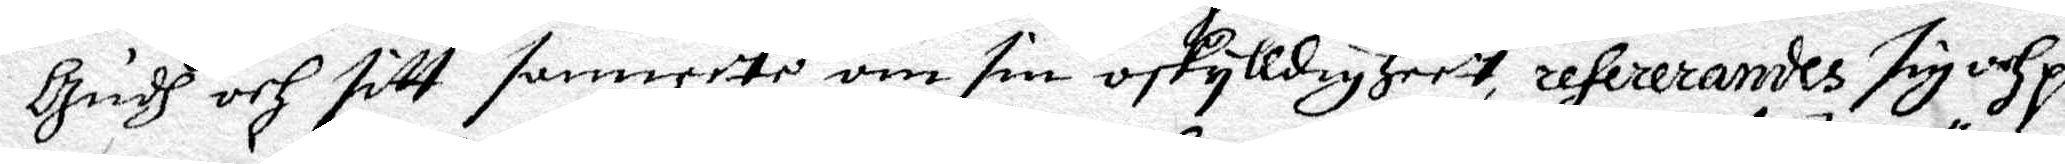Gudh och sitt samwete om sin oskylldigheer, refererandes sig och på
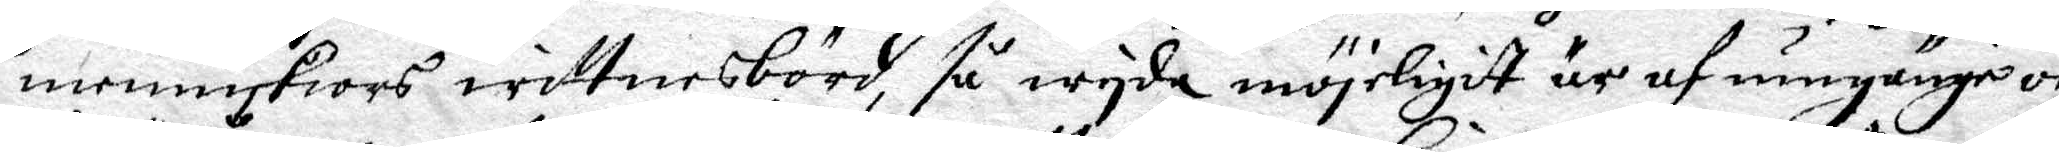menniskiors wittnesbörd, så wyda möjeligit är af umgänge och
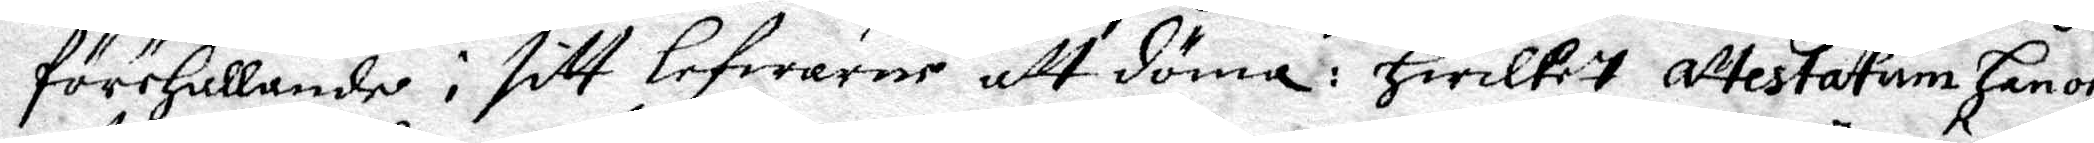föreHållande i sitt lefwerne att döma: Hwilket attestatum Hon och
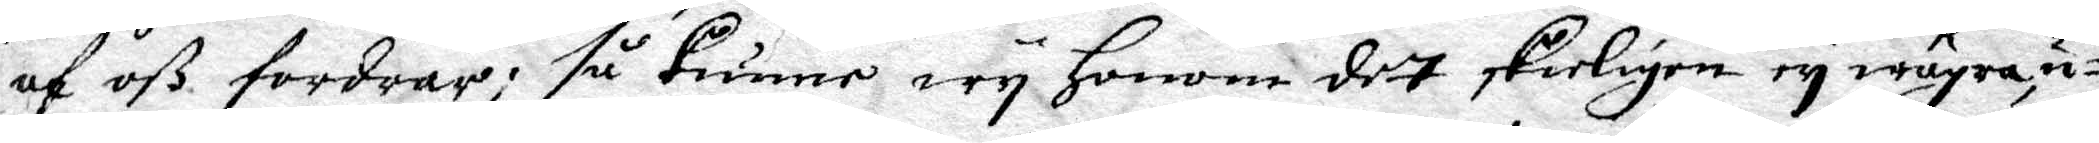af oß fordrar; så kunner wy Honom det skeligen ey wägra u¬
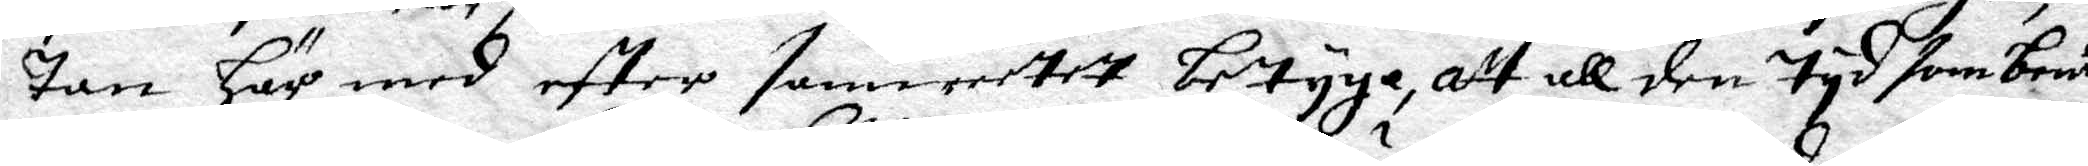tan Här med eftter semweetet betyga, att all den Tyd som bem.de
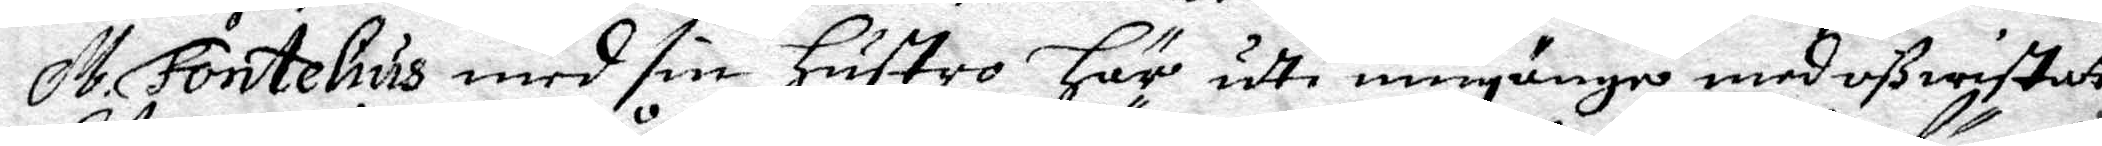M. Fontelius med sin hustro Här udti umgänge med oß wistatt
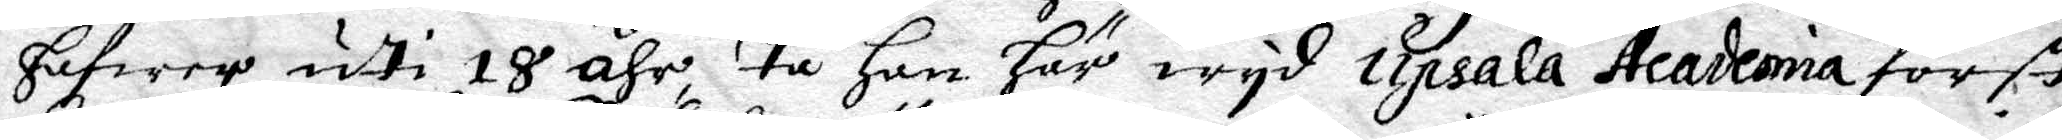Hafwer udti 18 åhr, Tu Han Här wyd Upsala Academia först
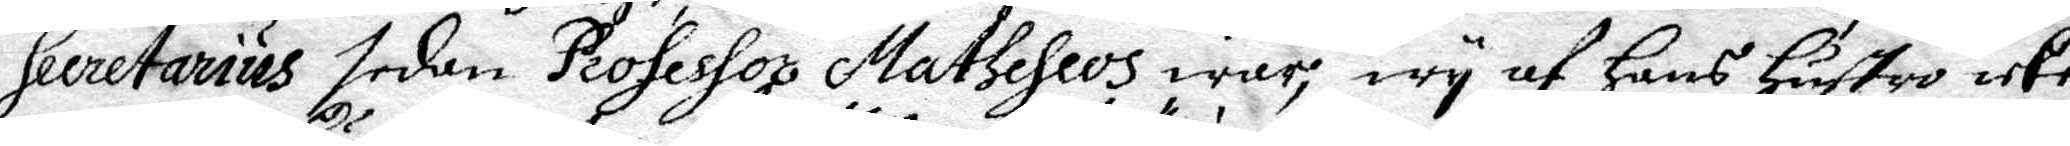Secretarius sedan professor Matheseos war, wy af hans Hustro icke
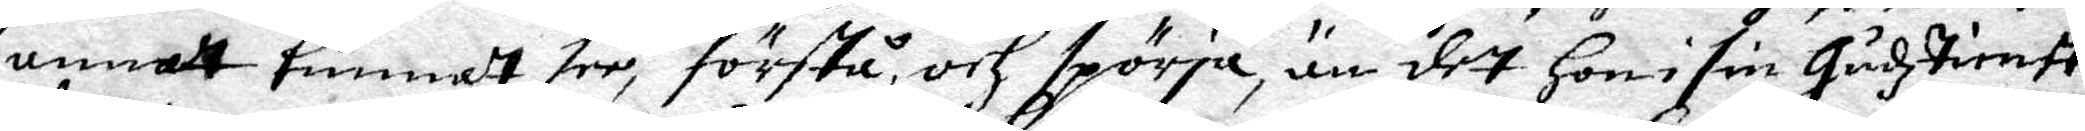annat kunnadt see, förstå och spörja än det Hon i sin Gudztienst
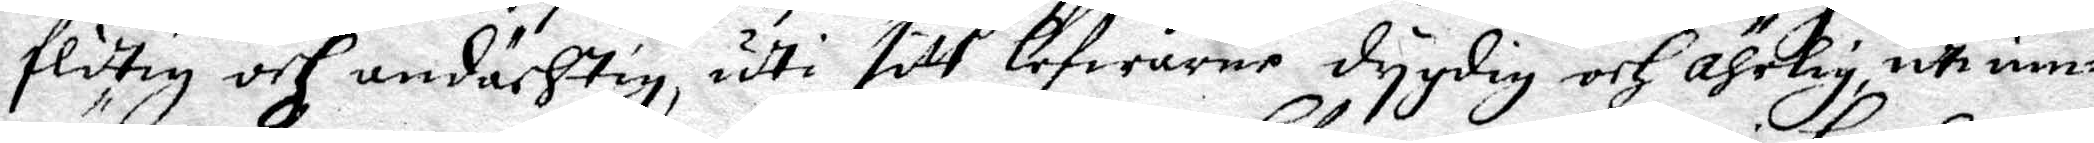flitig och undächtig, udti sitt lefwerne dygdig och ährlig, uti um¬
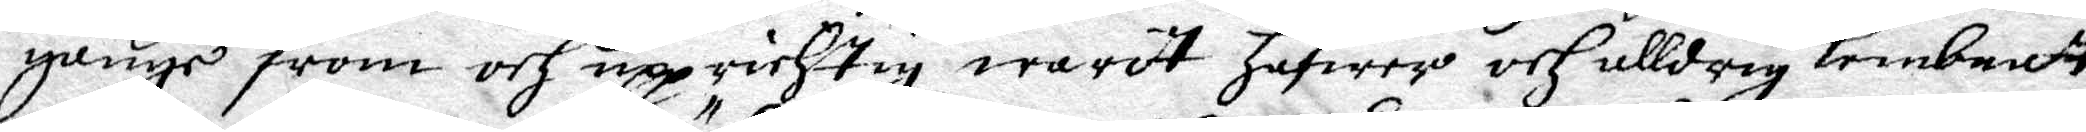gänge from och upprichtig warit Hafwer och alldrig lembnatt
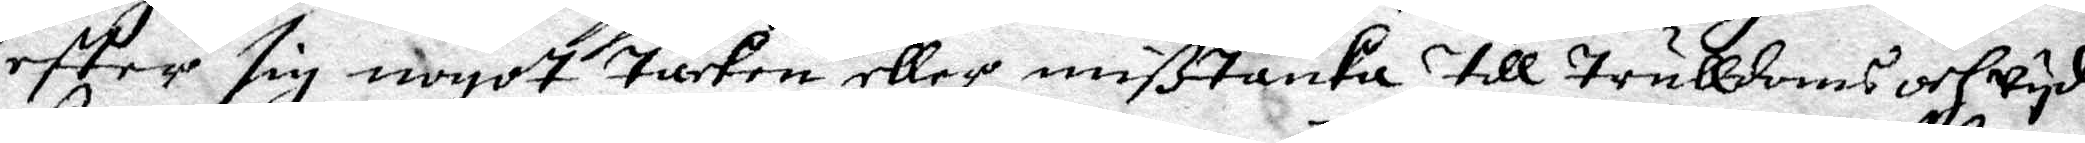eftter sig nogot Täcken eller mißtanka till Trulldoms och wyd¬
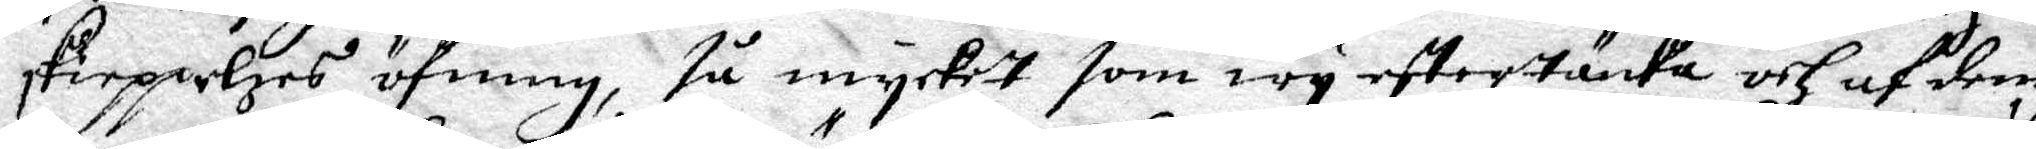skieppelzes öfning, Tå mycket som wy eftertänka och af dem
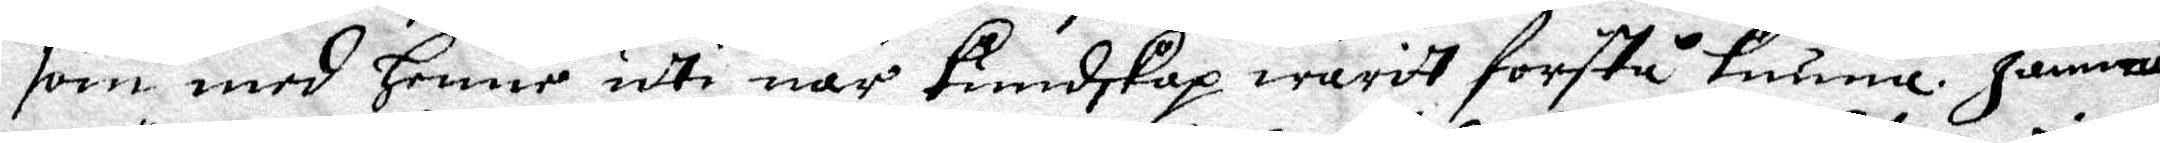som med Henne udti när kundskap warit forstå kunne. Jämn¬
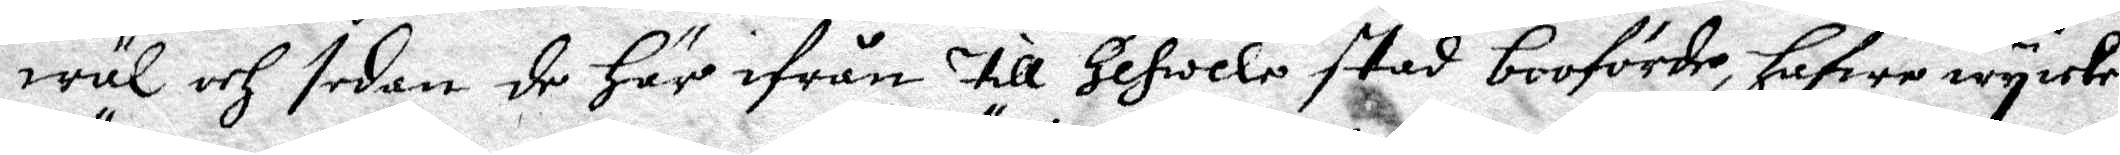wäl och sedan de Här ifrån till Gefwele stad booförde Hafwe wy icke
